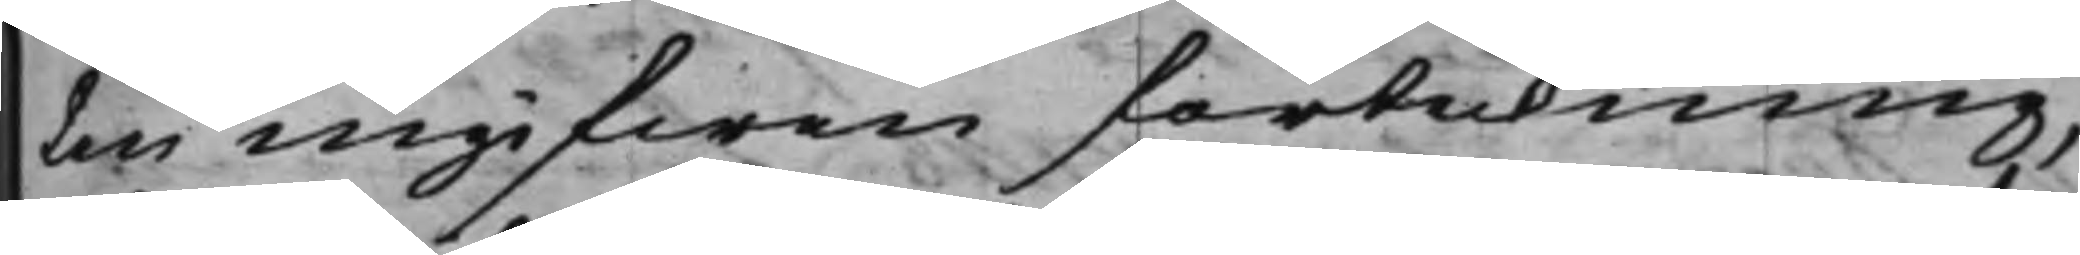ten ingifwen förtekning,
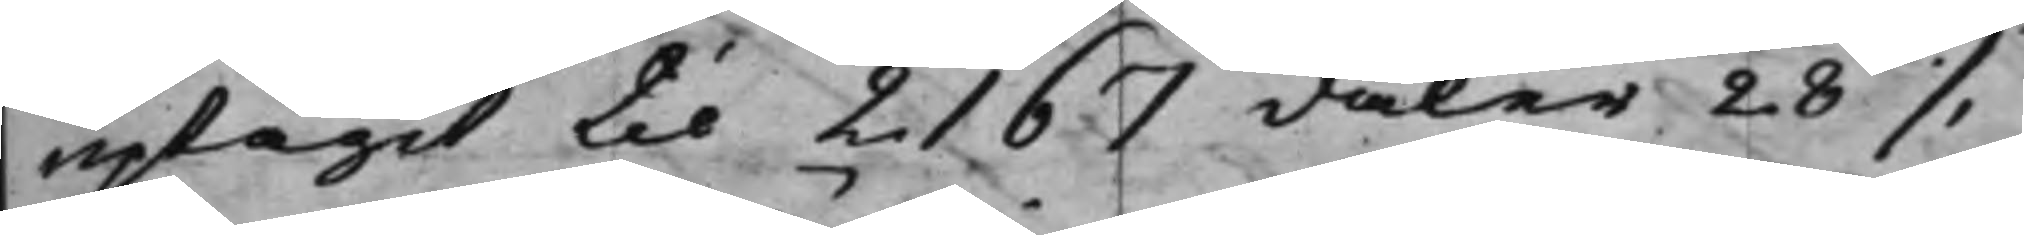uptagit til 2167 daler 28 ./.
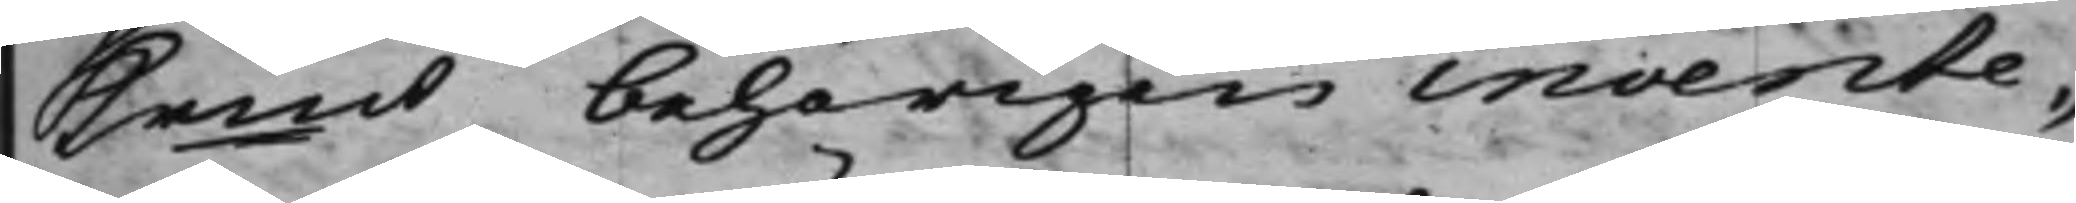Krmt, behörigen invente¬
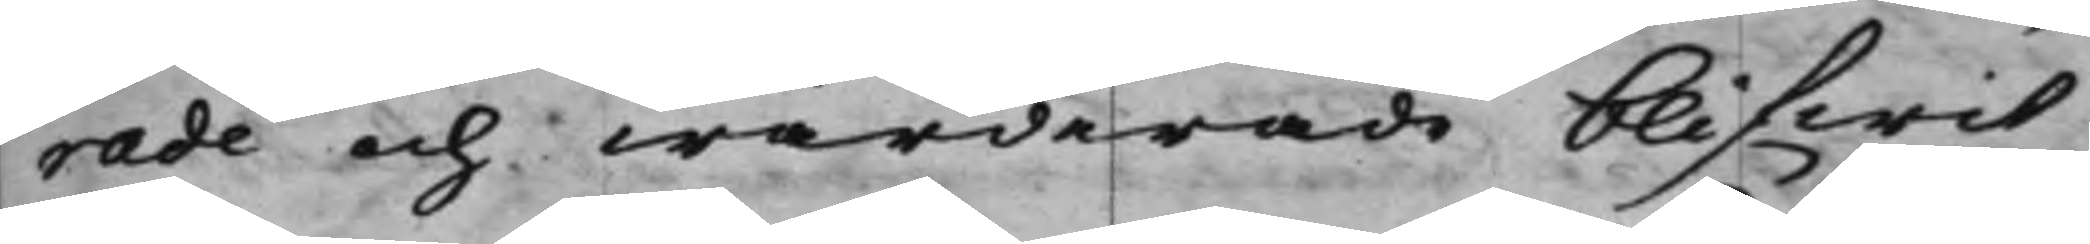rade och wärderade blifwit
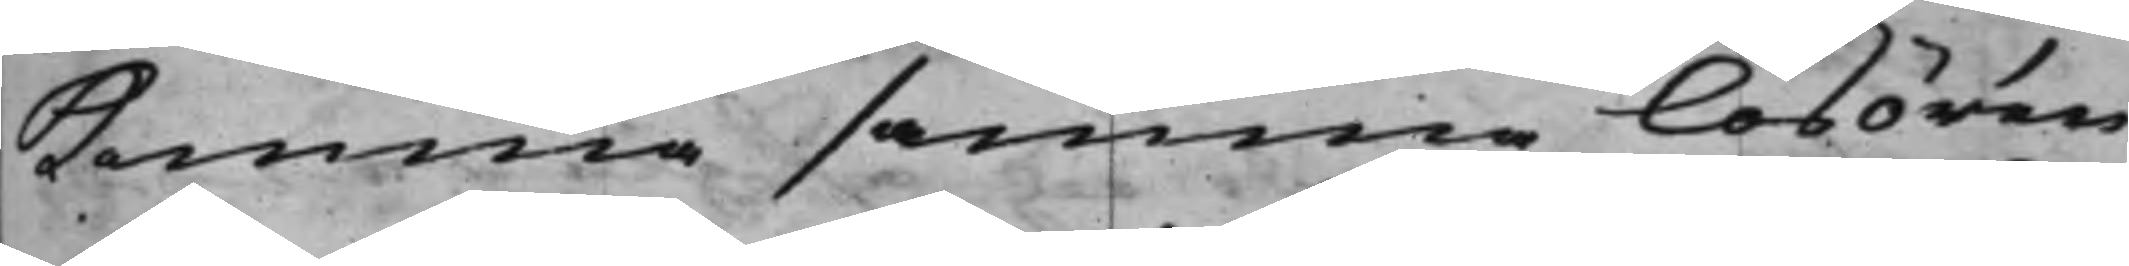komma samma lösören,
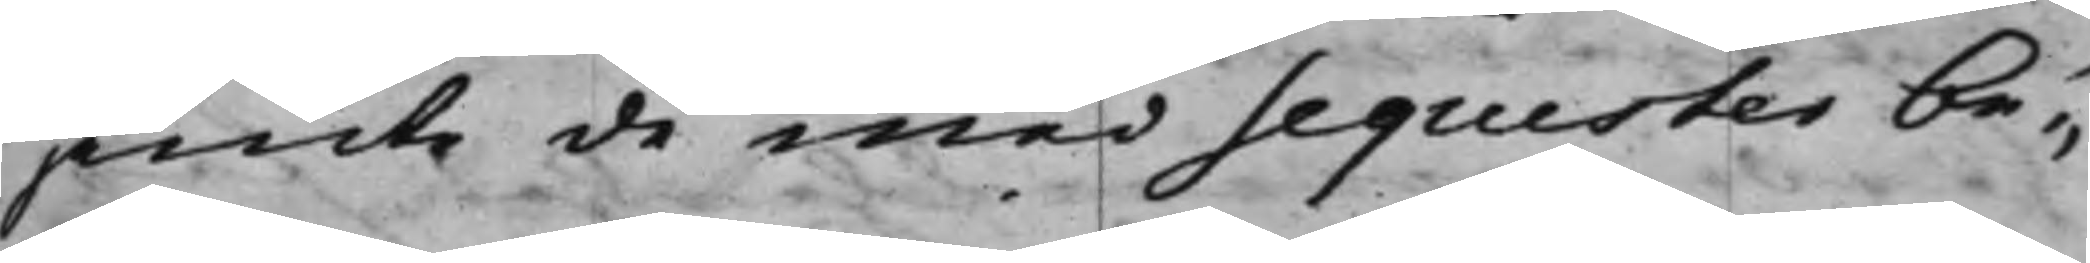jämte de med Sequester be¬
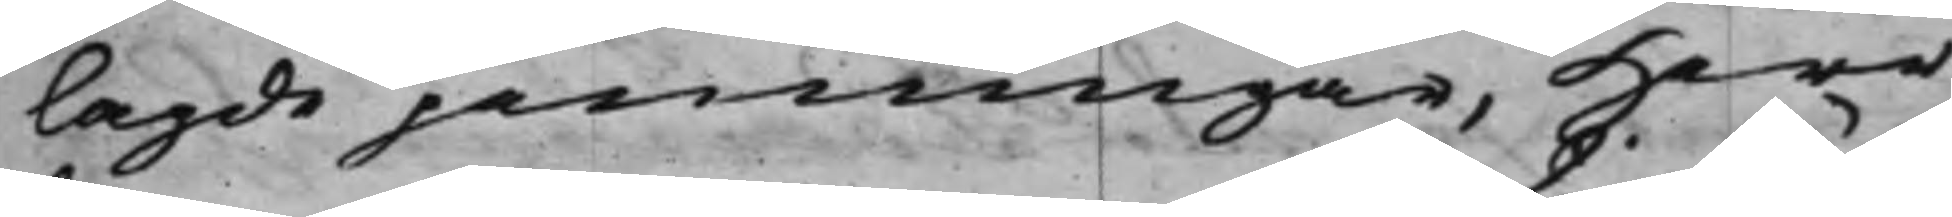lagde penningar, Herr
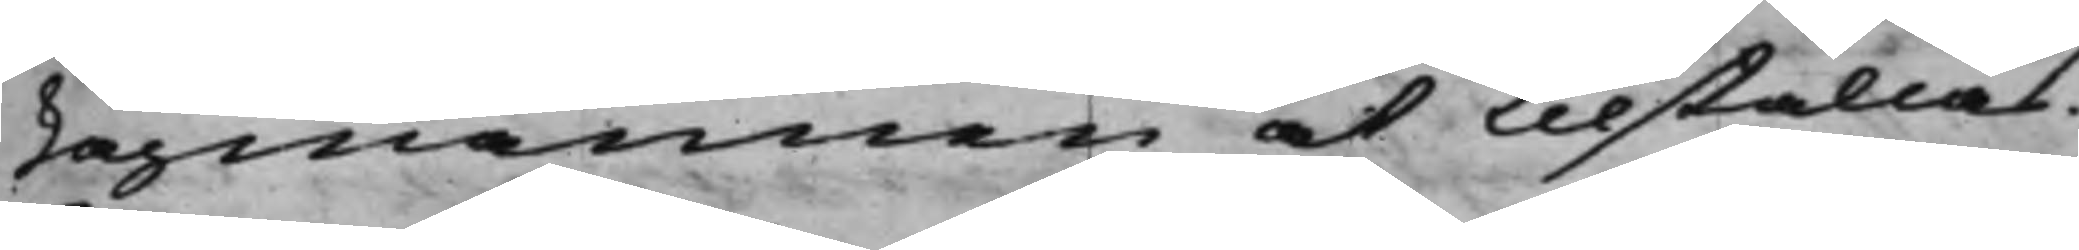Lagmannen at tillställas.
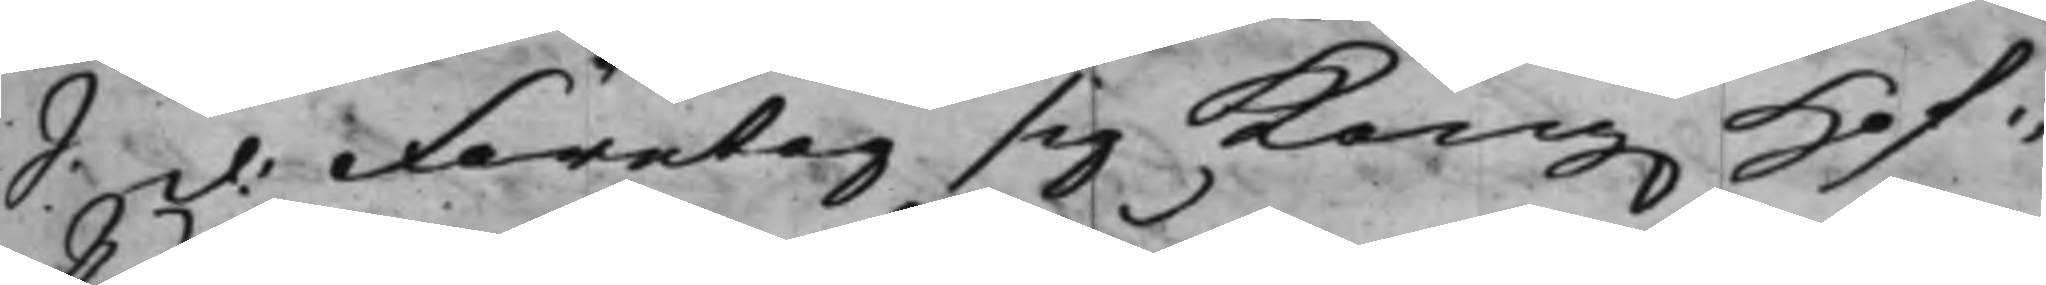S:d: Företog sig Kong. Hof¬
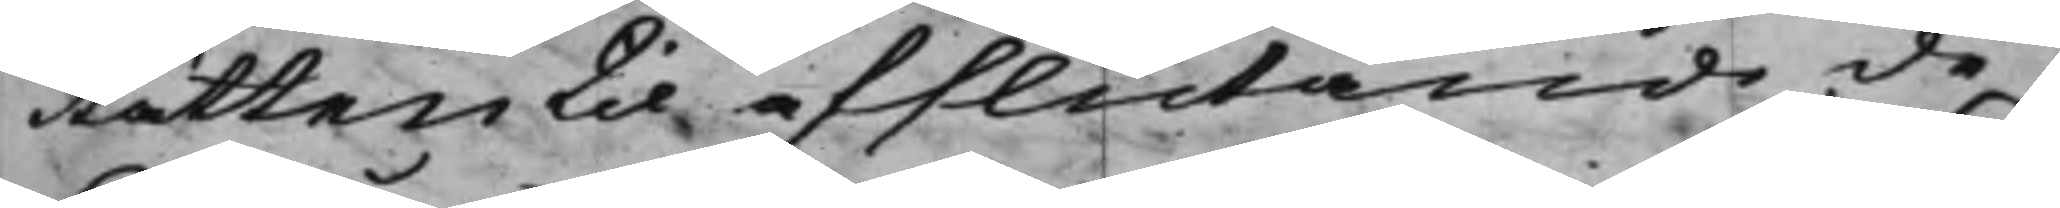Rätten til afslutande de
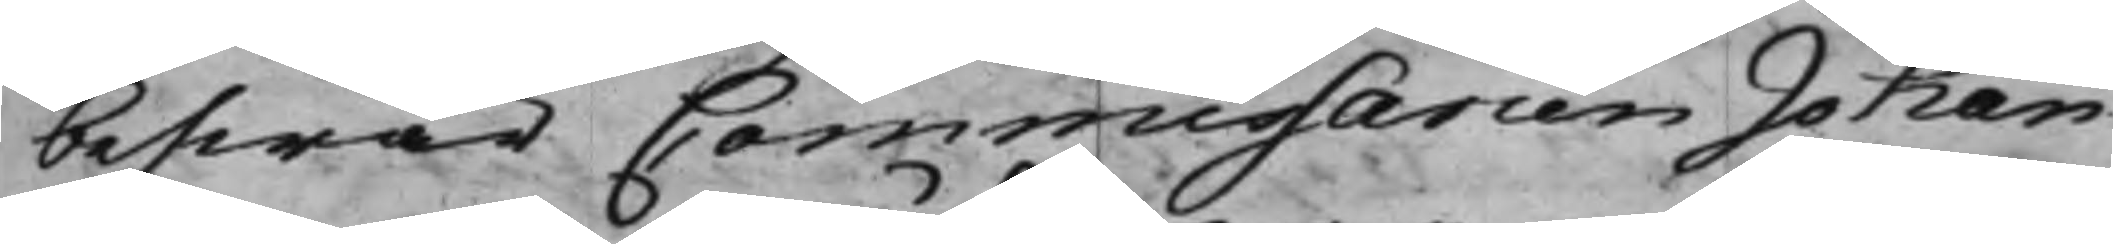beswär Commissarien Johan
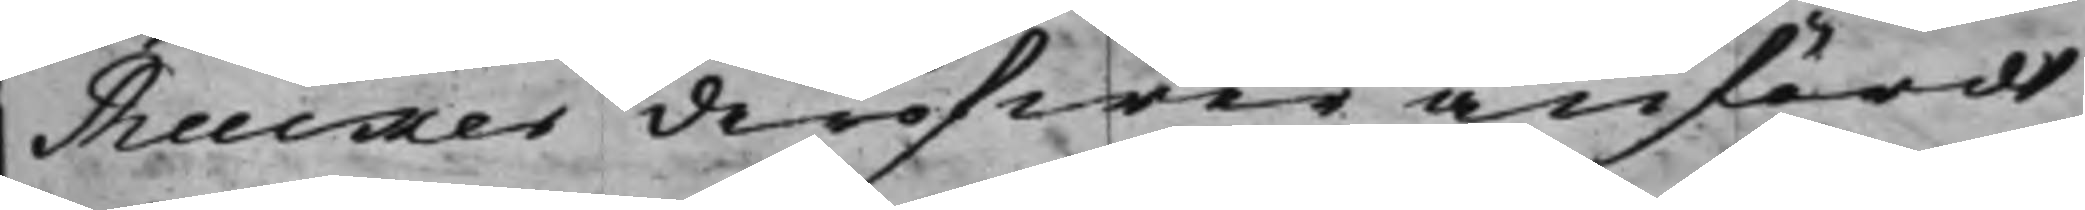Rucker deröfwer anfördt,
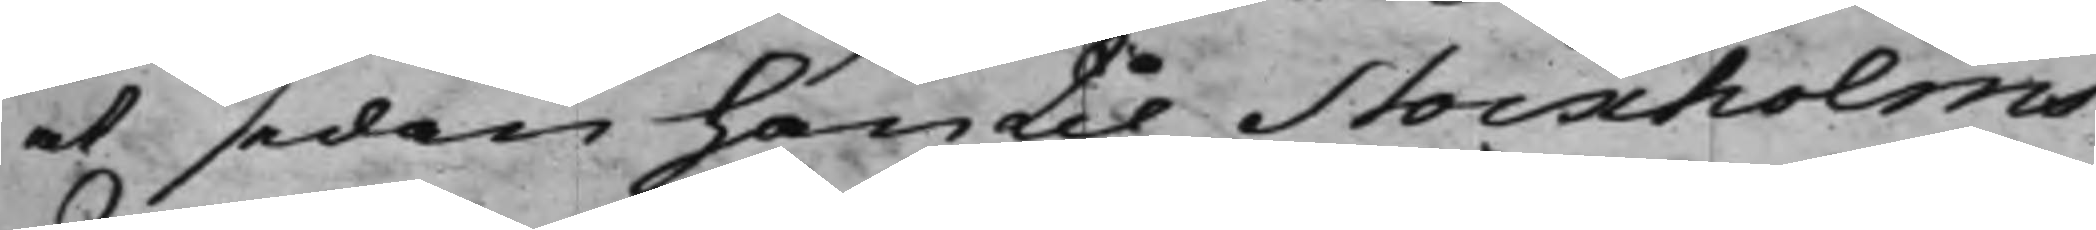at sedan han til Stockholms
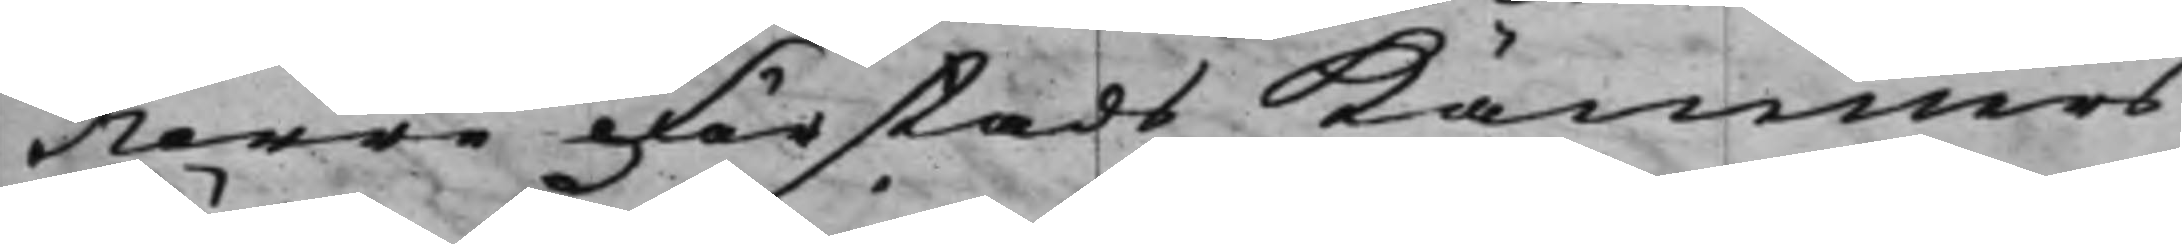Norre Förstads Kämners¬
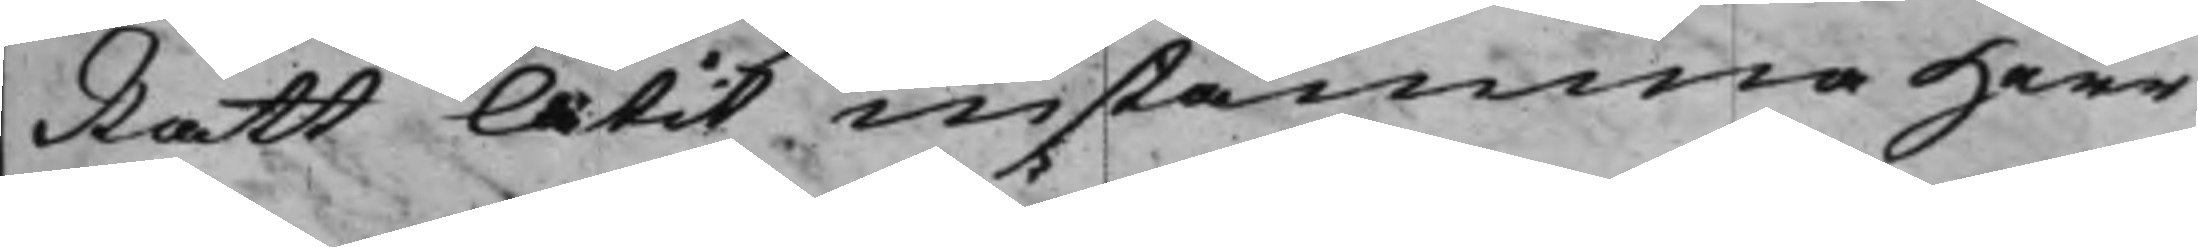Rätt låtit instämma Herr
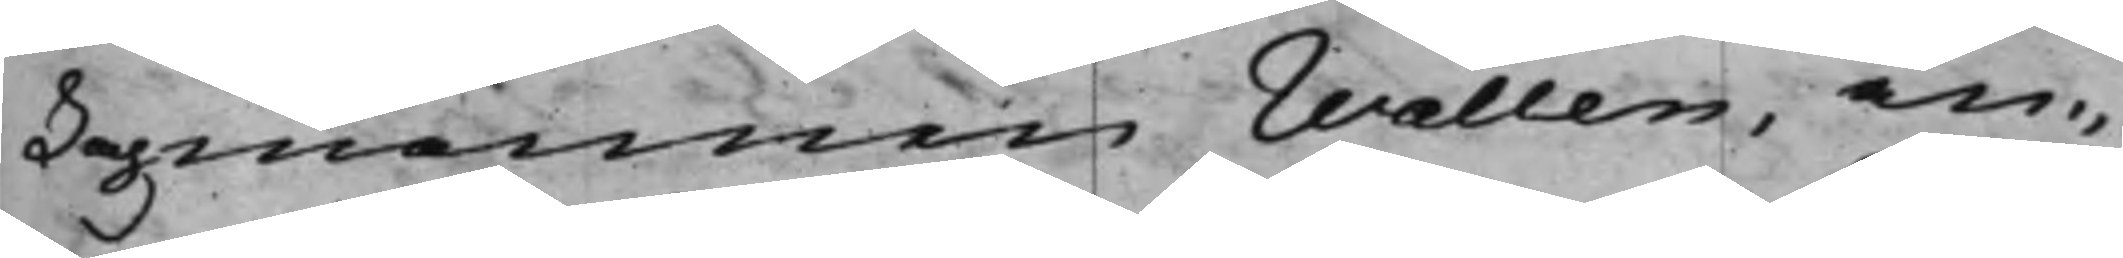Lagmannen Wallen, an¬
